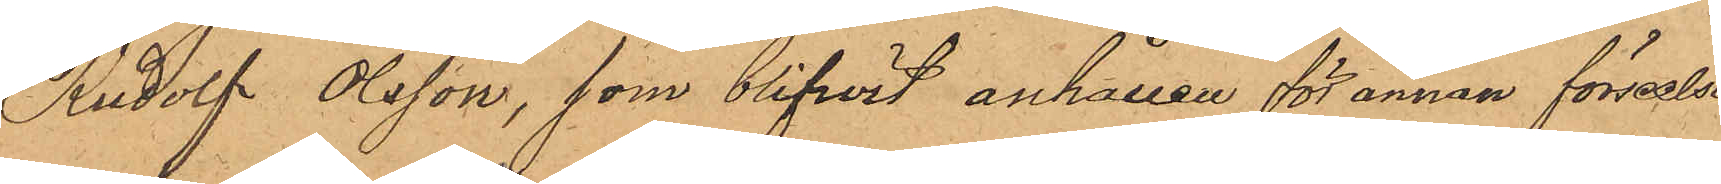Rudolf Olsson, som blifwit anhållen för annan förseelse
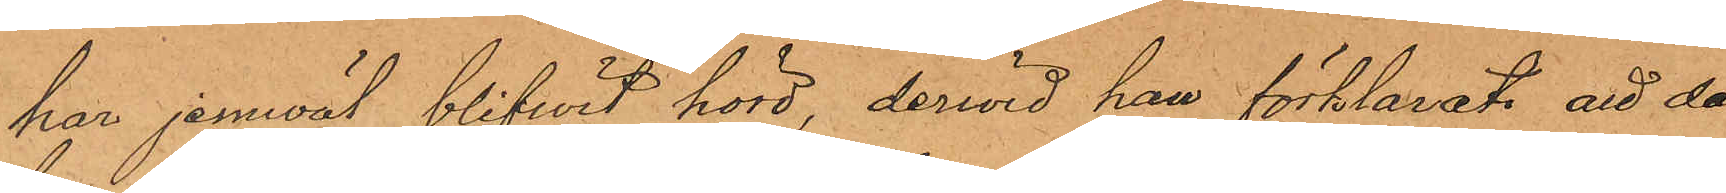har jemväl blifwit hörd, derwid han förklarat att då
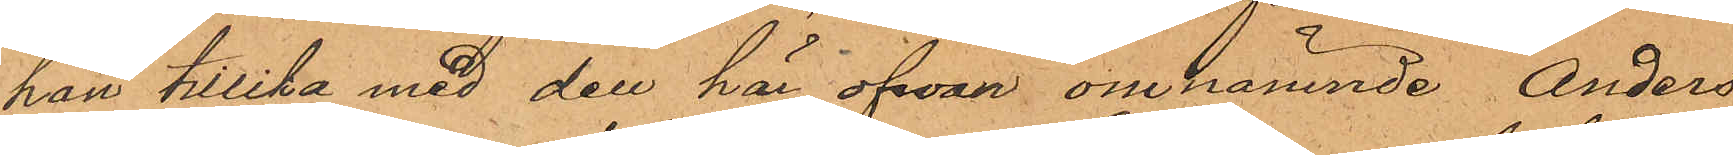han tillika med den här ofwan omnämnde Anders
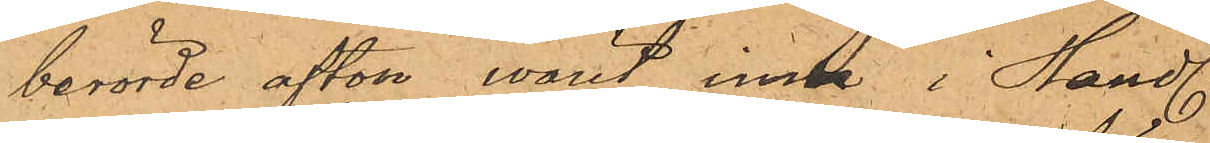berörde afton warit inne i Handl.
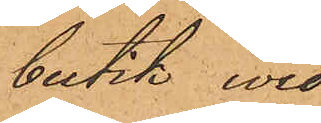butik wid
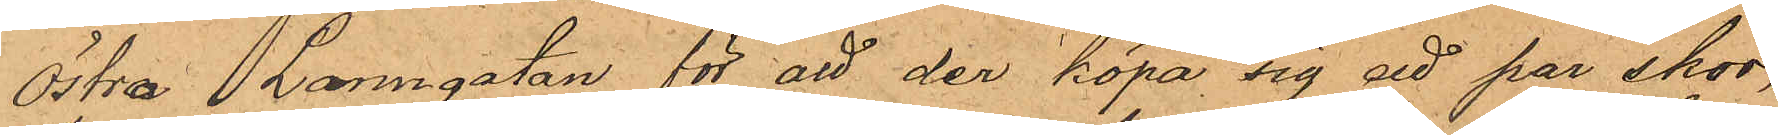Östra Larmgatan för att der köpa sig ett par skor,
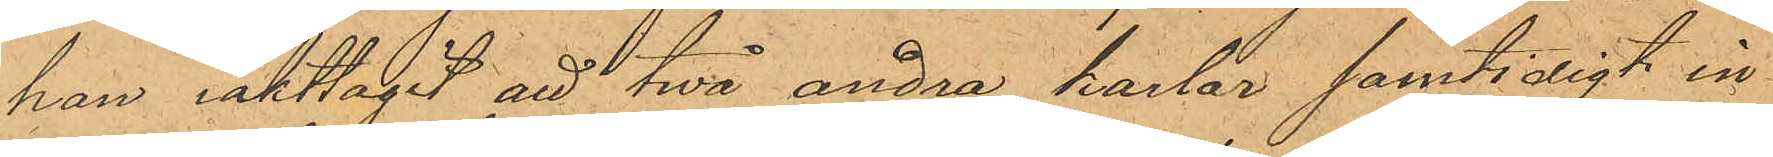han iakttagit att twå andra karlar samtidigt in¬
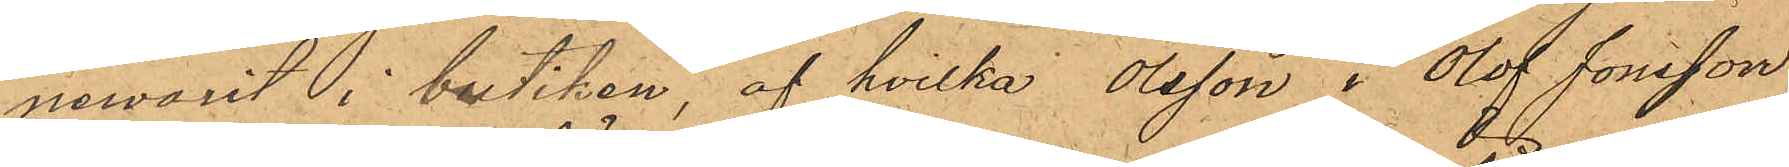newarit i butiken, af hvilka Olsson i Olof Jonsson
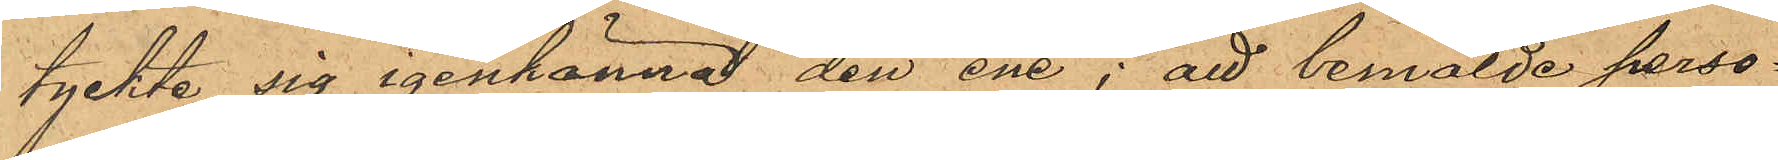tyckte sig igenkänna den ene; att bemälde perso¬
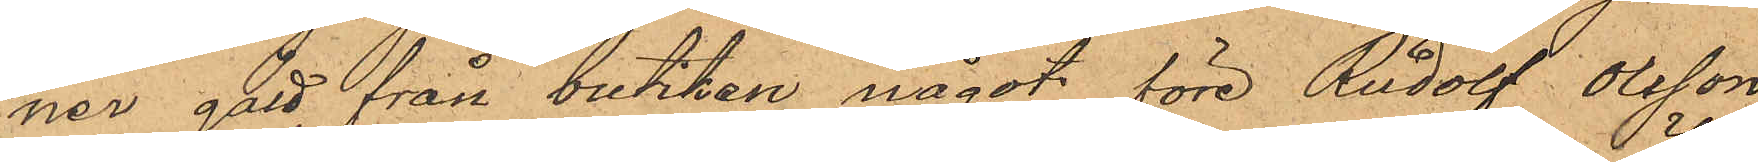ner gått från butiken något före Rudolf Olsson
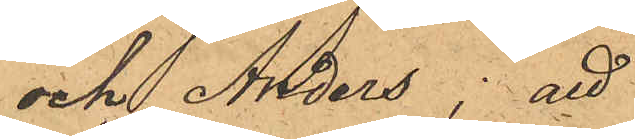och Anders; att
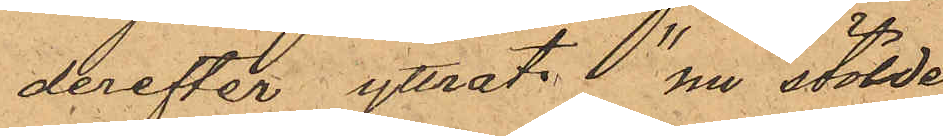derefter yttrat: "nu stölde
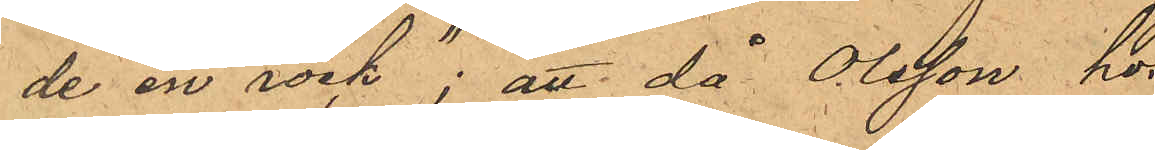de en rock"; att då Olsson hos       
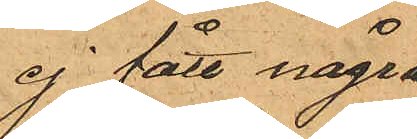ej fått några
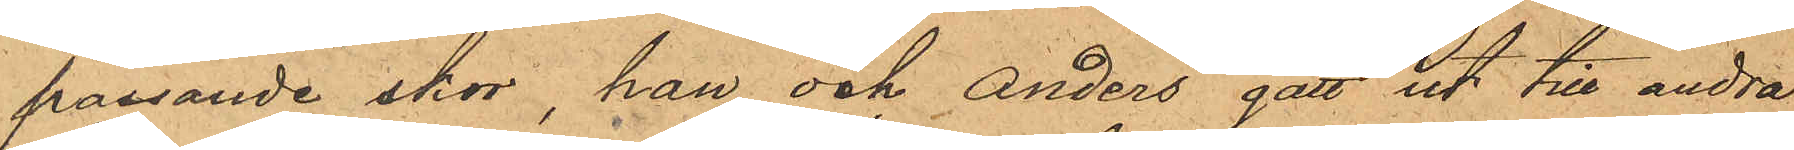passande skor, han och Anders gått ut till andra
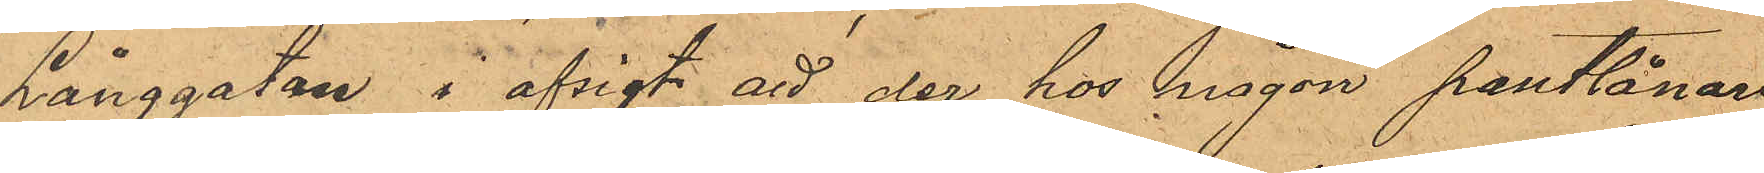Långgatan i afsigt att der hos någon pantlånare
